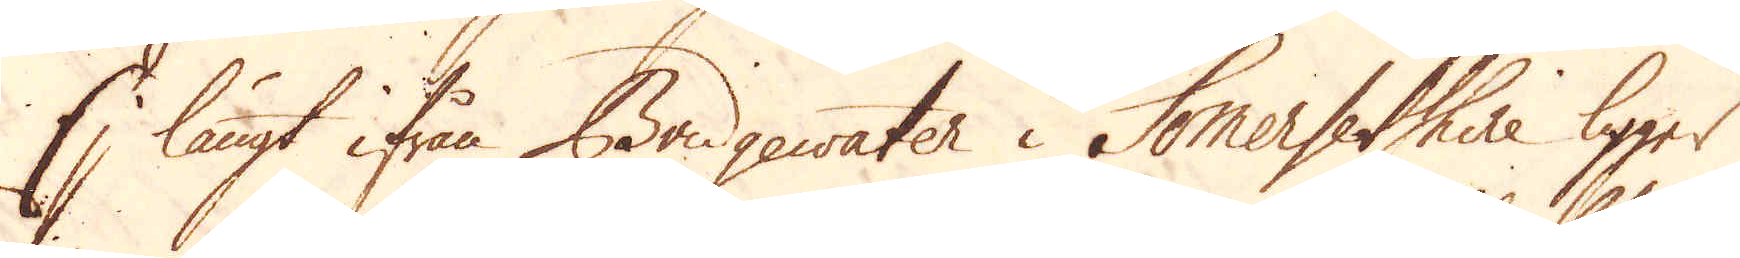Ej långt ifrån Bridgewater i Somersetshire ligger
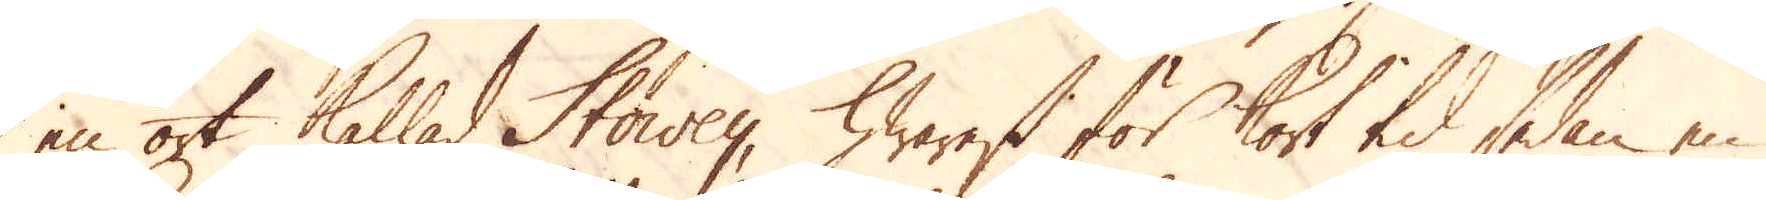en ort kallad Stowey, hwarest för kort tid sedan en
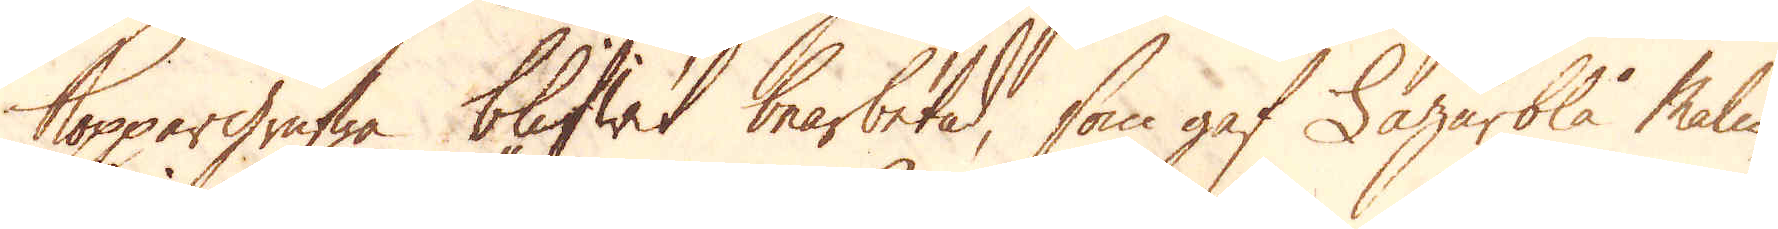Koppargrufwa blifwit bearbetad, som gaf Lazärblå Malm,
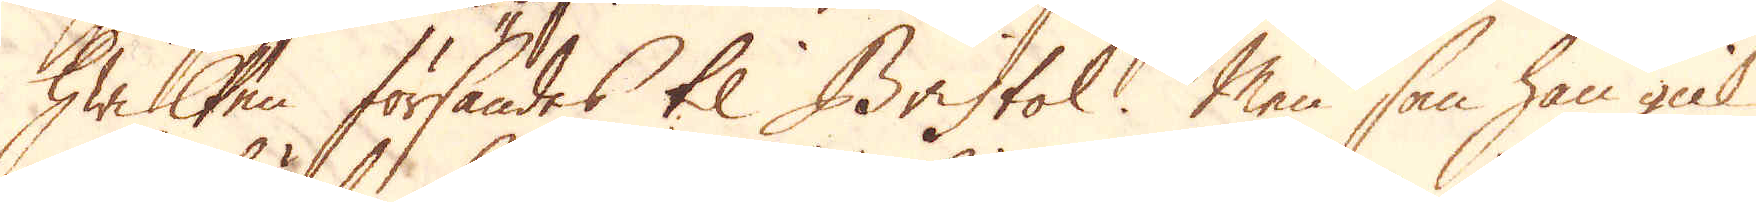hwilken försändes til Bristol. Men som han gick
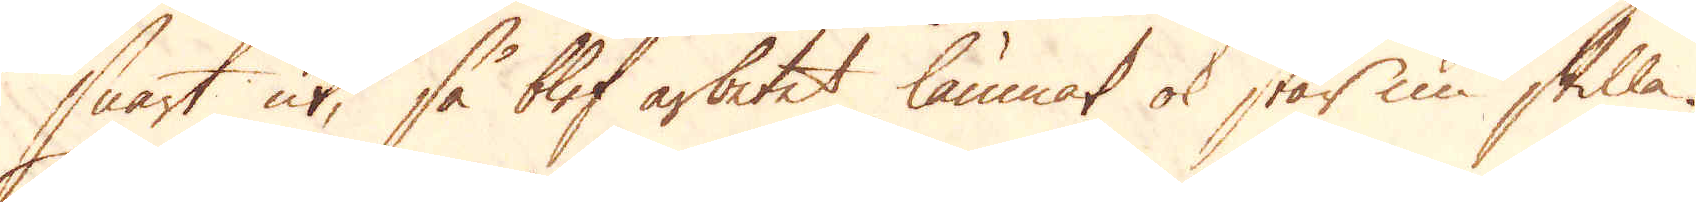snart ut, så blef arbetet lämnat ok står nu stilla.
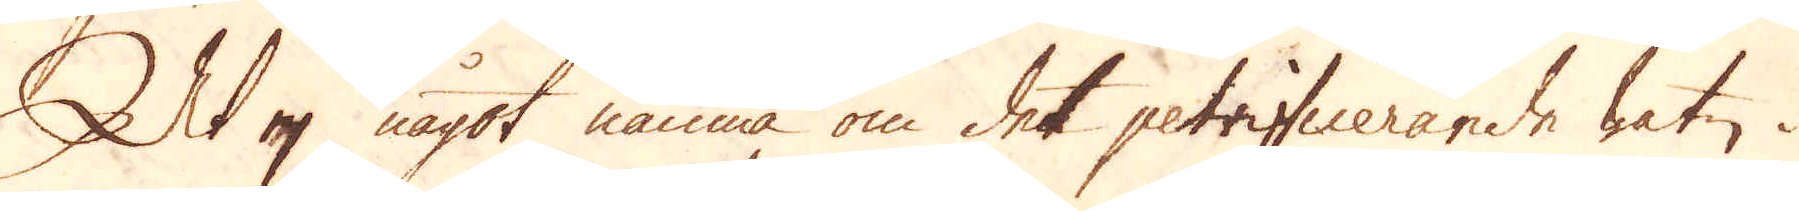At ej något nämna om det petrifinerande watn i
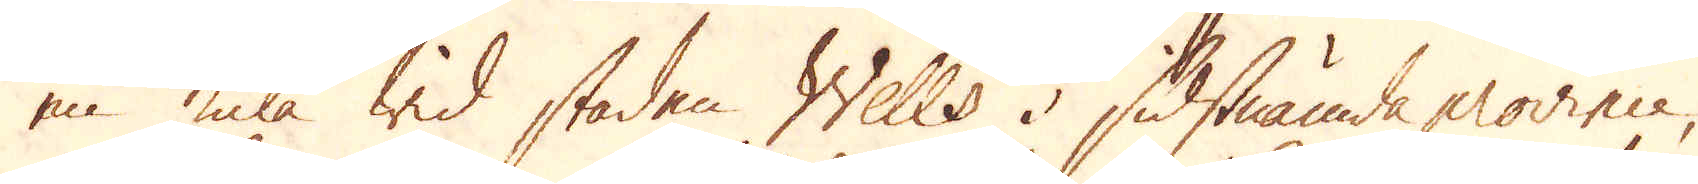en kula wid staden Wells i sidstnämda province,
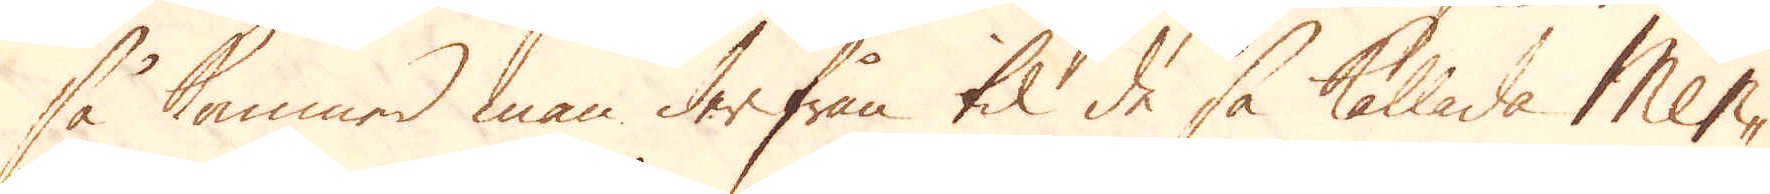så kommer man derifrån til de så kallade Men-
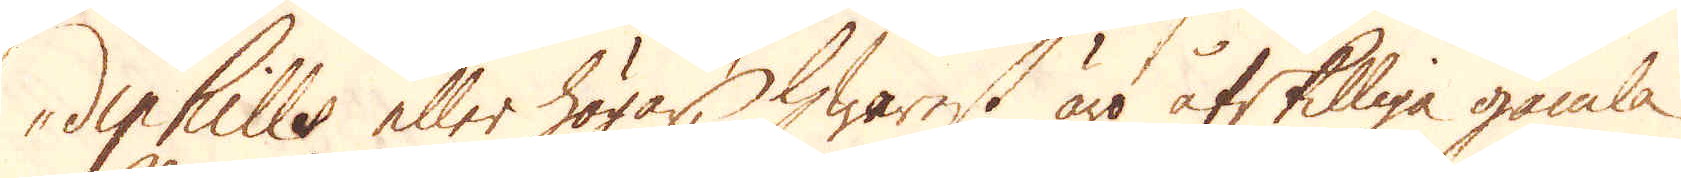diphills eller högar, hwarest äro åtskilliga gamla
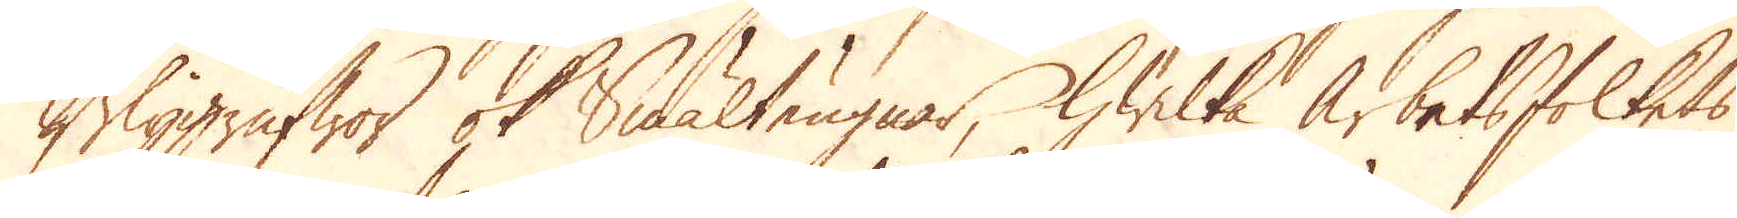Blygrufwor ok smälteugnar, hwilka arbetsfolkets
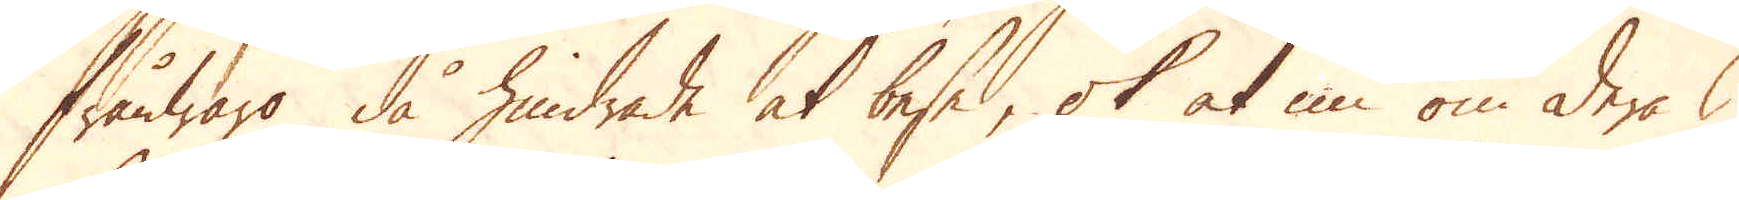frånwaro då hindrade at beses, ok at nu om deras
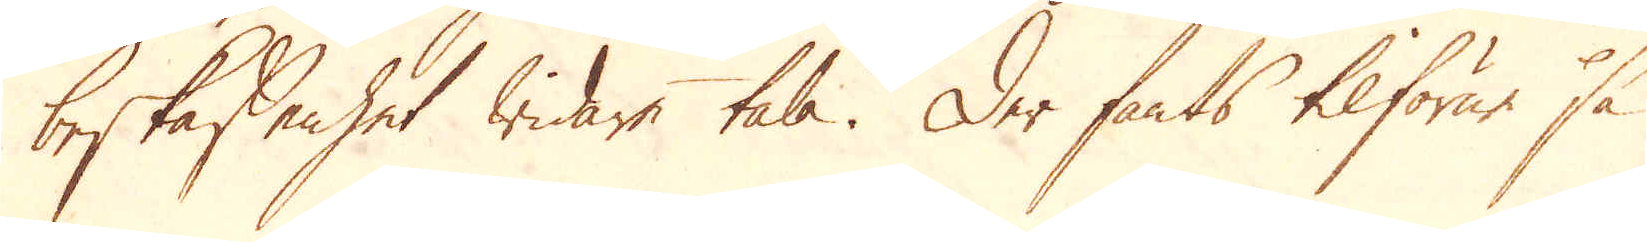beskaffenhet widare tala. Der fants tilförne så
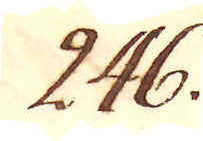246.
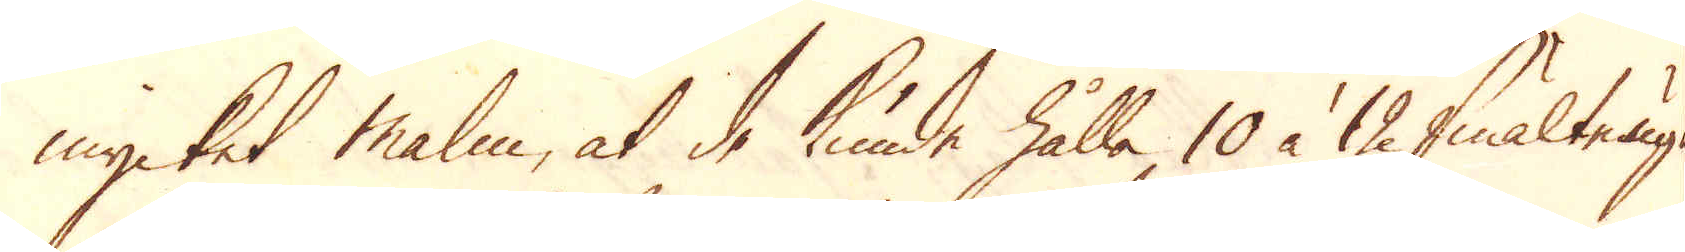mycket malm, at de kunde hålla 10 à 12 smältugn
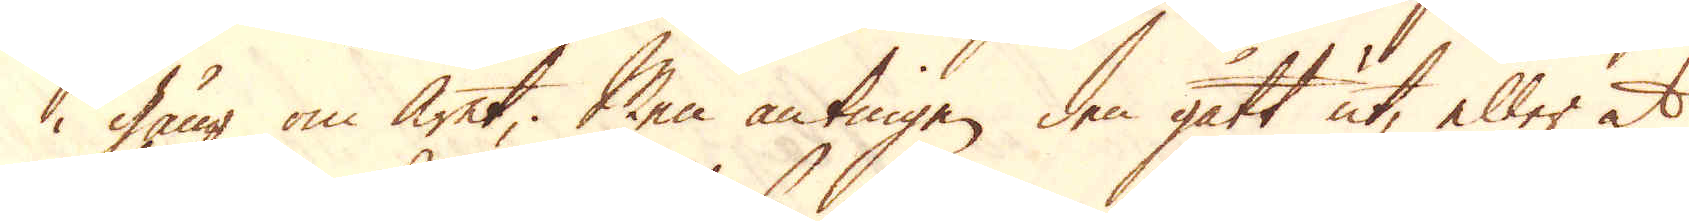i gång om året; Men antingen den gått ut, eller at
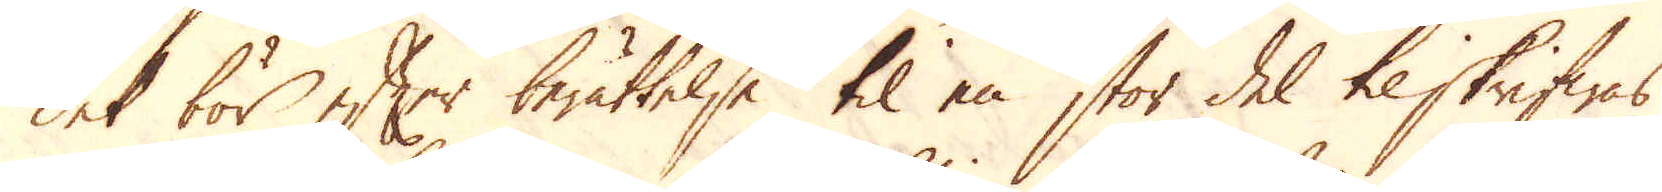det bör efter berättelse til en stor del tilskrifwas,
